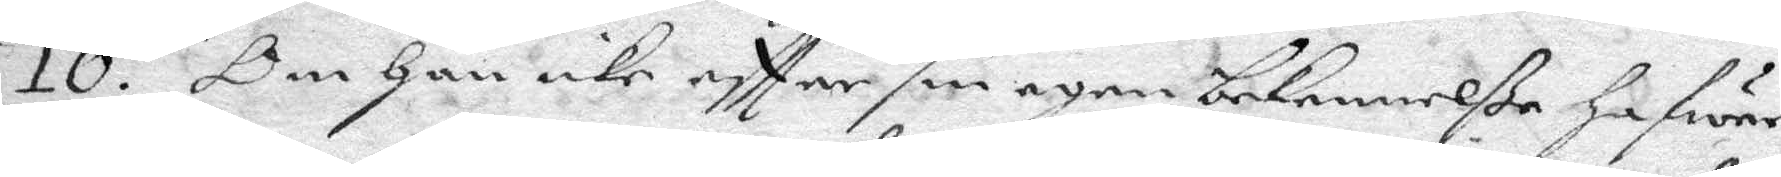10. Om Han icke eftter sin egen bekennelße Hafwer
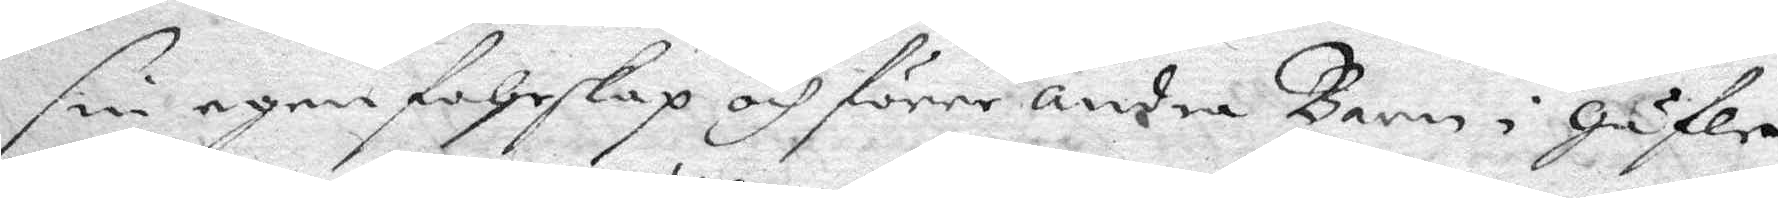sin egen fohrskap och förre andra Barn i Gäfle
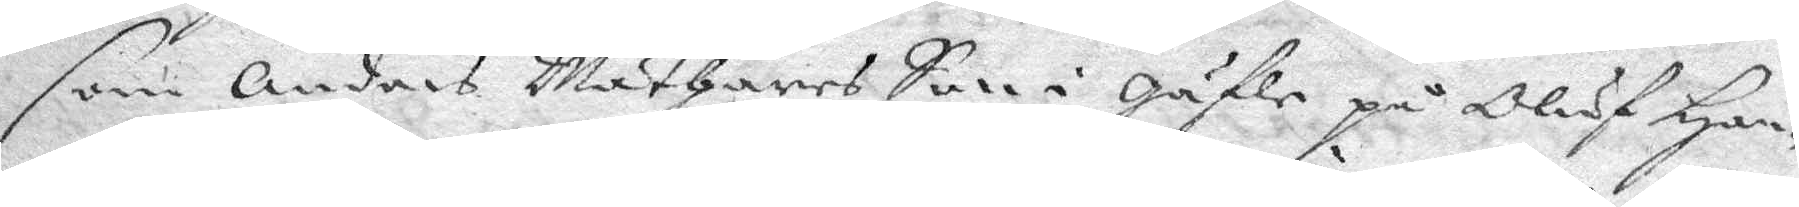som Anders Mäthares Son i Gäfle på Oluf Han¬
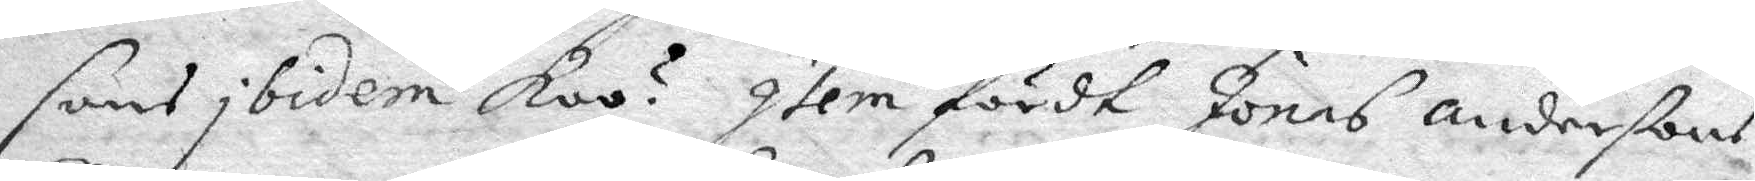sins ibidem koo? Item först Jonas Anderßons
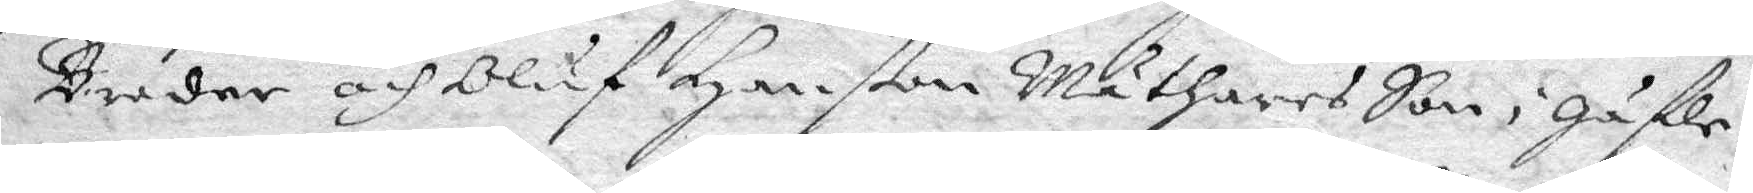Broder och Oluf Hanßon Mäthares Son i Gäfle?
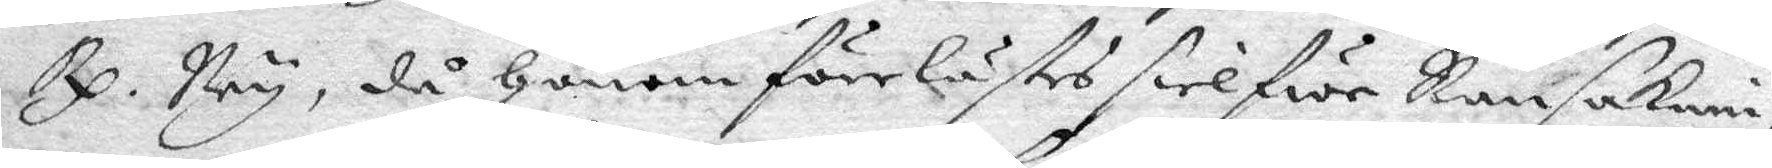Rp. Ney, då Honom förelästes sielfwe Ransakni¬
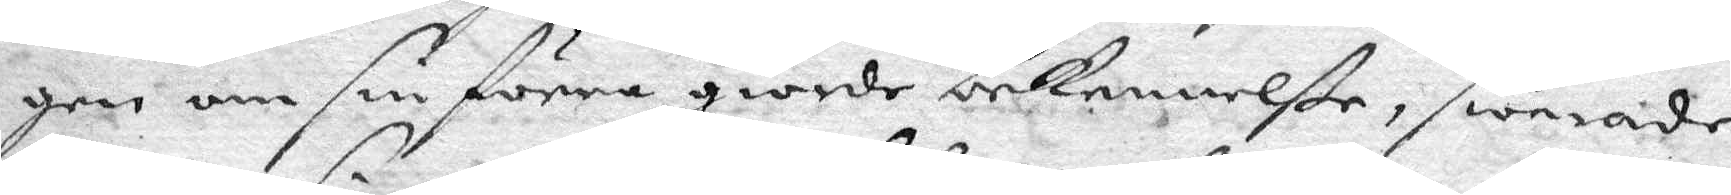gen om sin förre giorde bekennelße, swarade
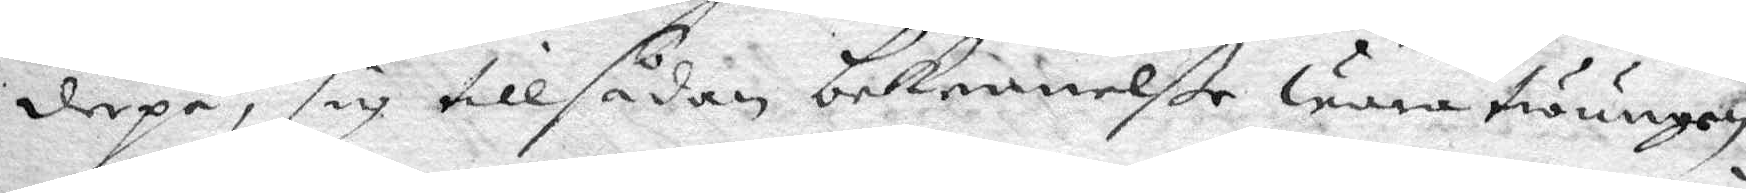derpå, sig till sådan bekennelße wara twungen
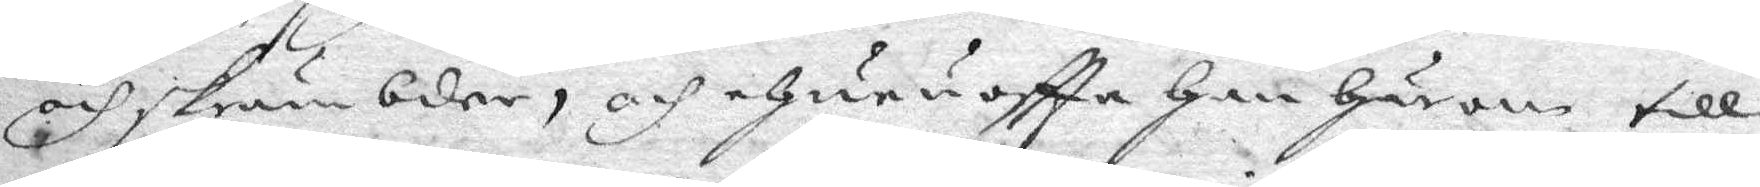och skrämbder, och ehuru oftta Han Härom till¬
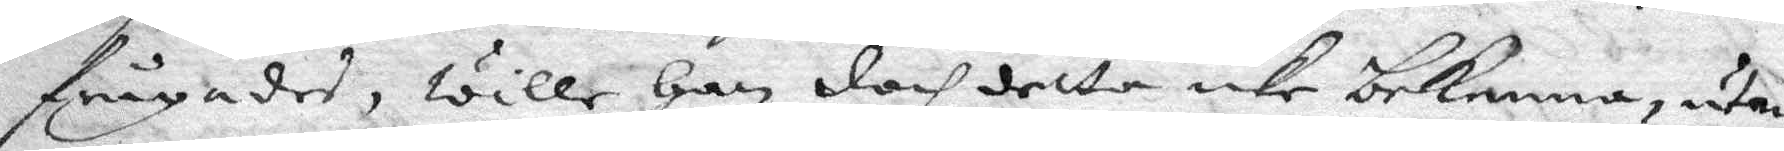frågades, wille Han doch detta icke bekenna, utan
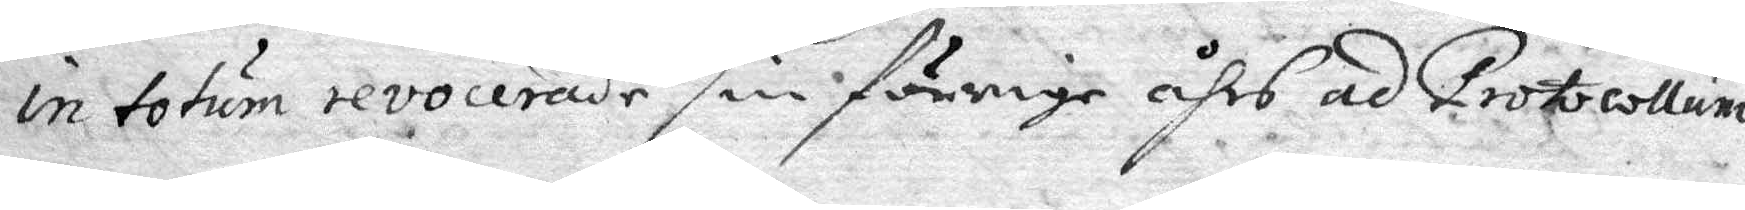in totum revocerade sin förrige åhrs ad Protocollum
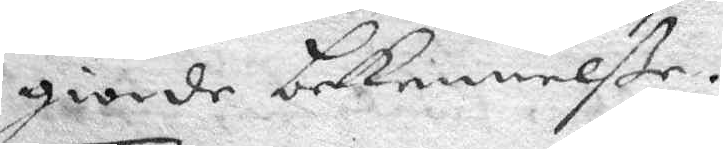giorde bekennelße.
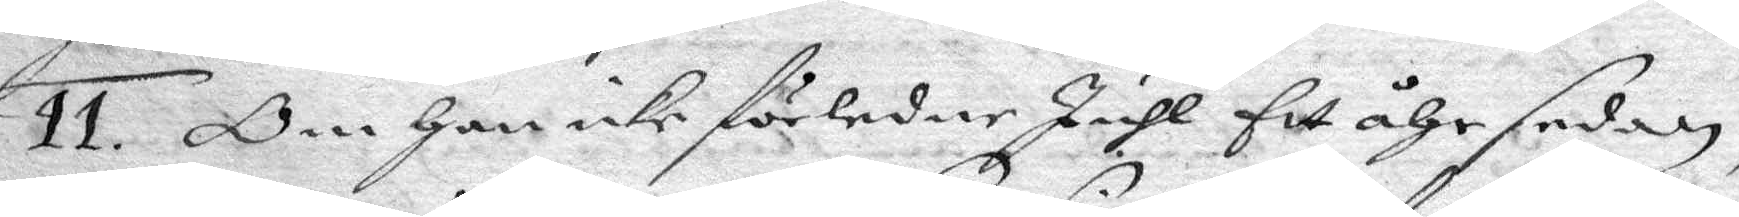11. Om Han icke förledne Juhl fit åhr sedan,
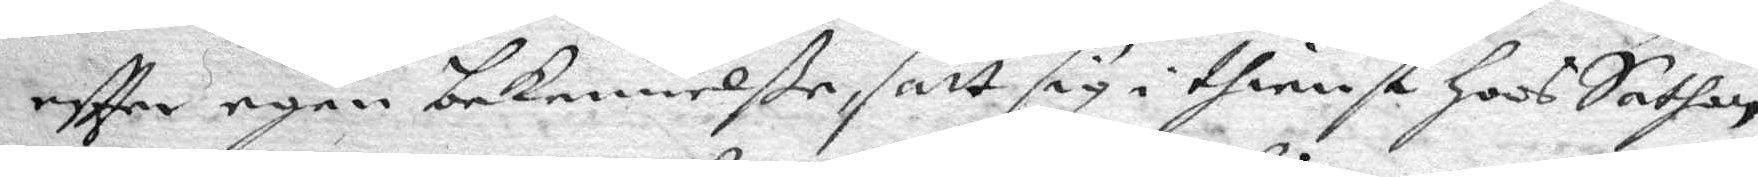eftter egen bekennelße, satt sig i thienst Hoos Sathan
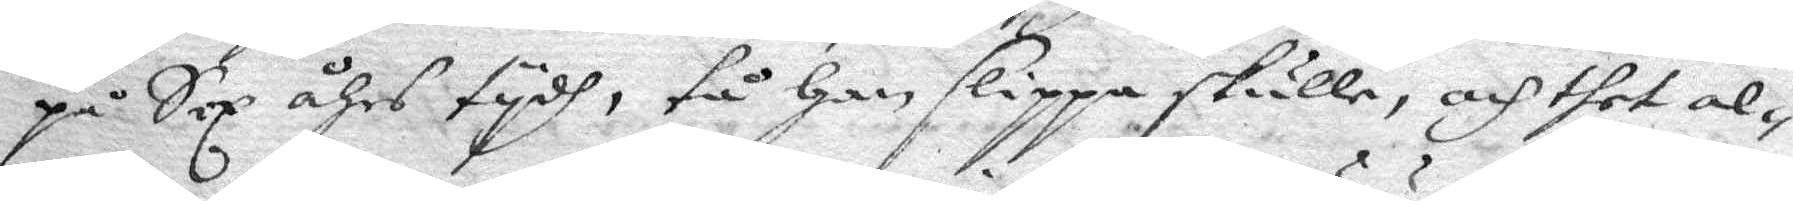på Sex åhrs tydh, tå Han slippa skulle, och ther al¬
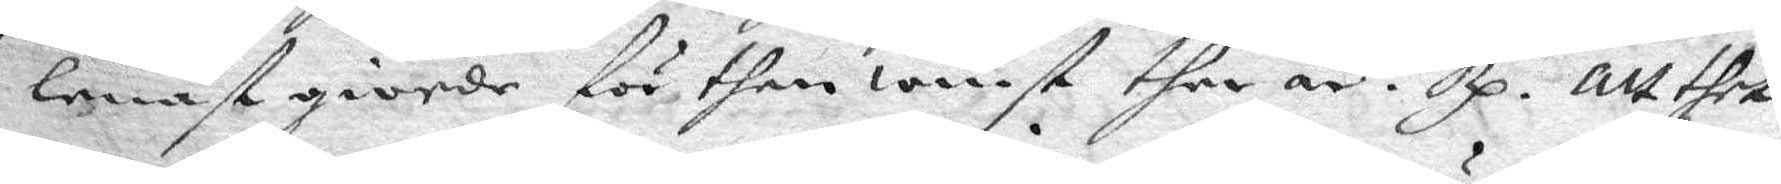lenast giorde för then winst ther är? Rp. Att thet
